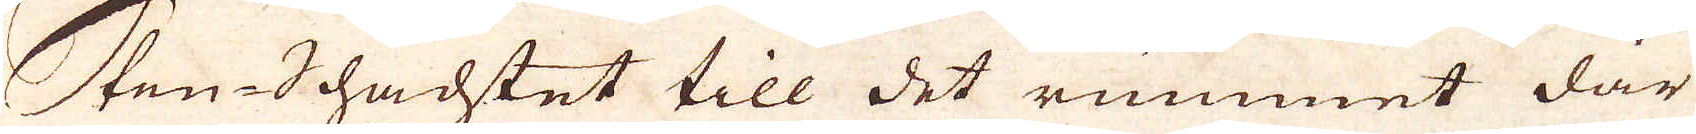Sten-Schachtet till det rummet där
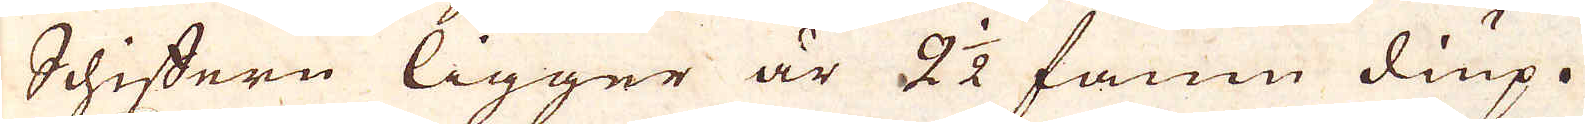Schiffern ligger är 2 1/2 famn diup.
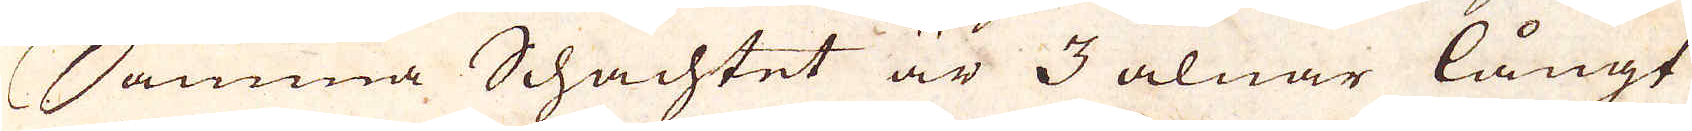Samma Schachtet är 3 alnar långt
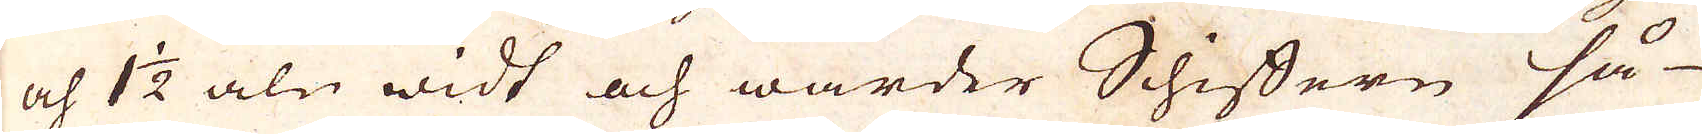och 1 1/2 aln widt och warder Schiffern så-
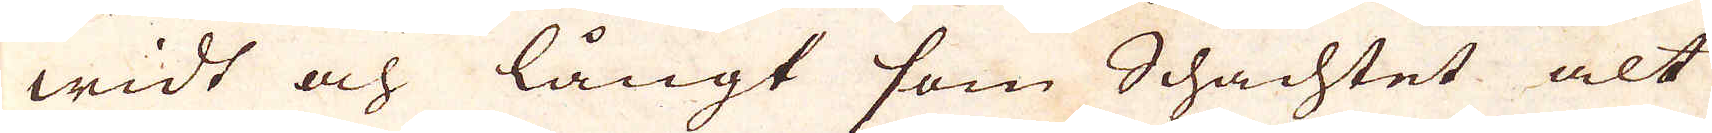widt och långt som Schachtet alt
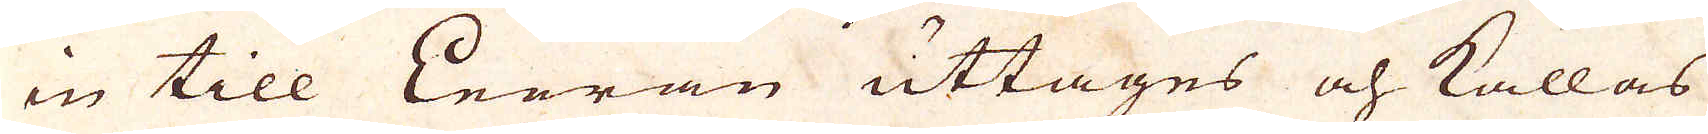in till Leeran uttages och kallas
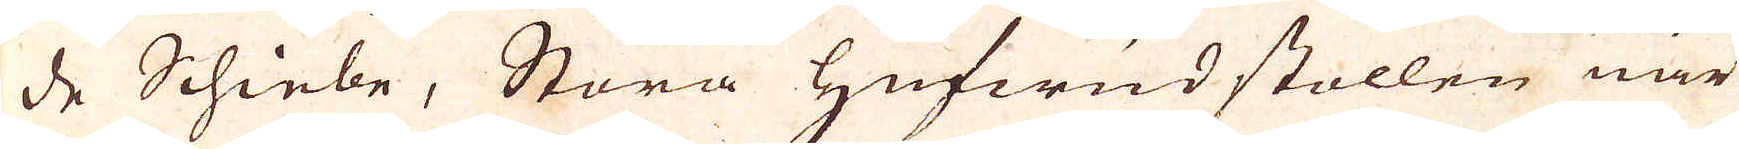de Schiebe, Stora Hufwidstollen när
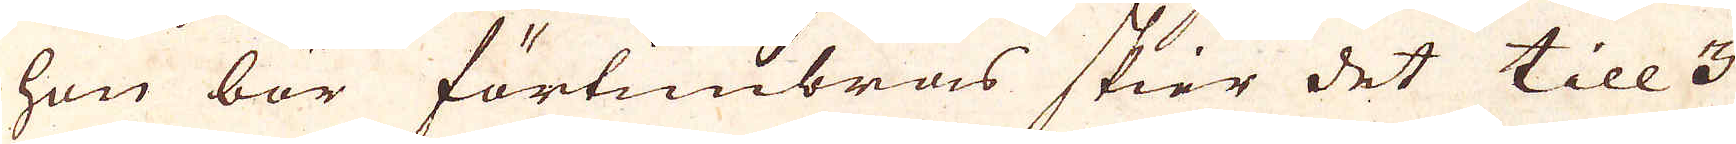han bör förtimbras skier det till 3
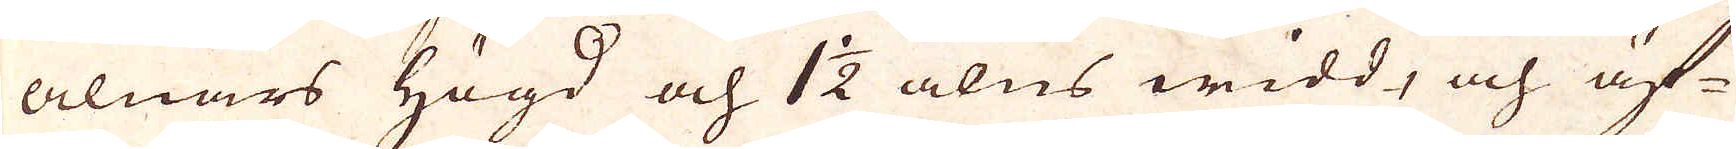alnars Högd och 1 1/2 alns widd, och äf-
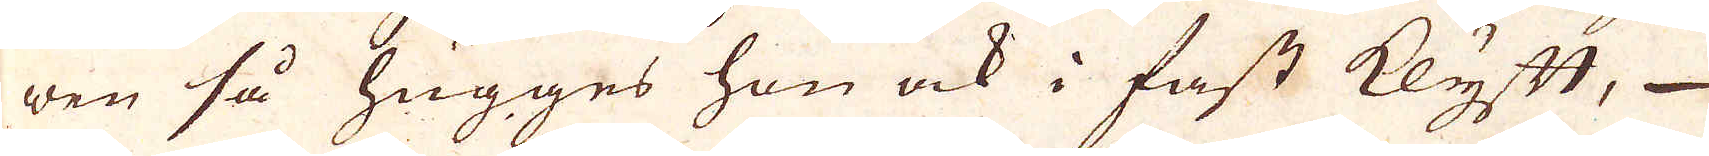wen så hugges hon ock i fast klyft,
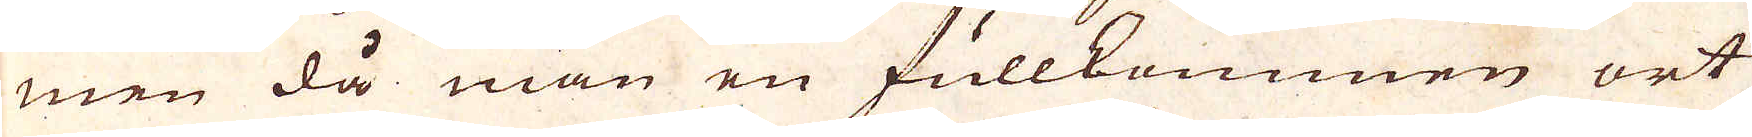men då man en fullkommen ort
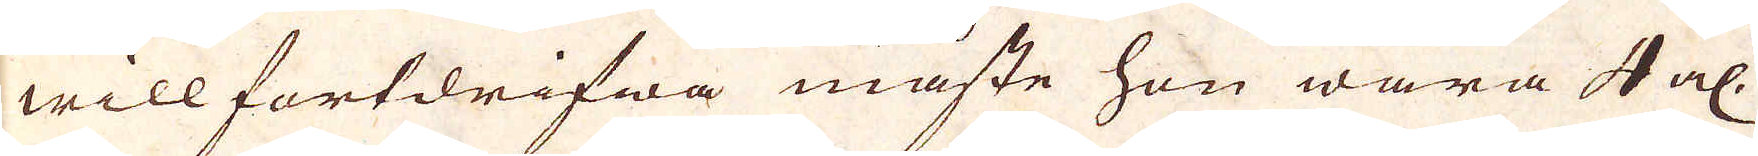will fortdrifwa måste hon wara 4 al:
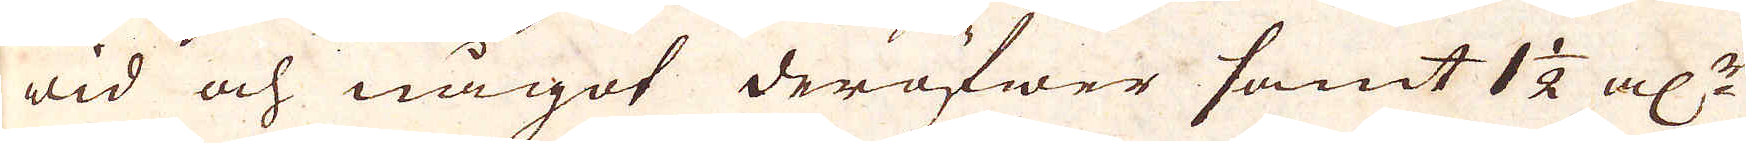wid och något deröfwer samt 1 1/2 al:r
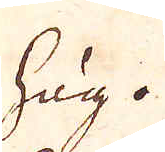hög.
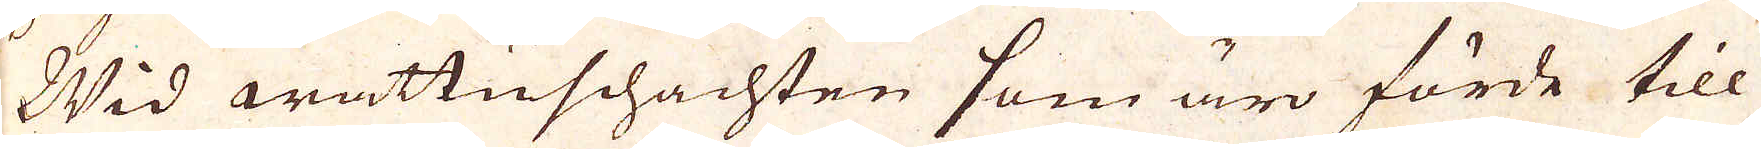Wid wattuschachten som äro förde till
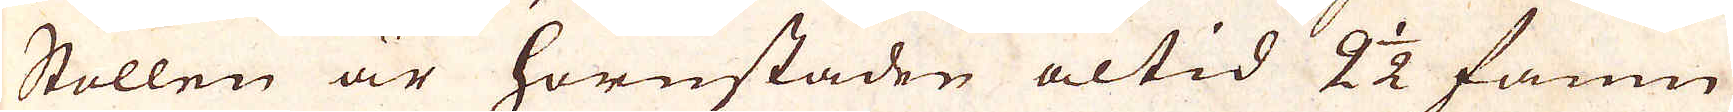Stollen är hornstaden altid 2 1/2 famn
